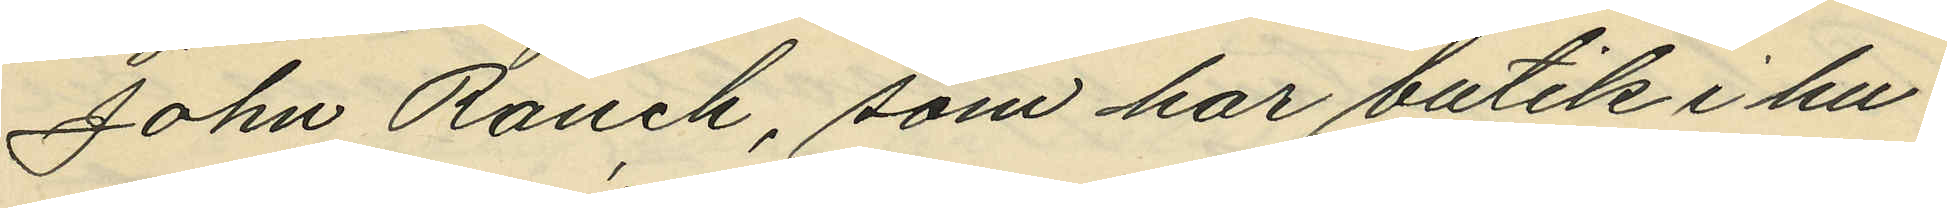John Ranch, som har butik i hu¬
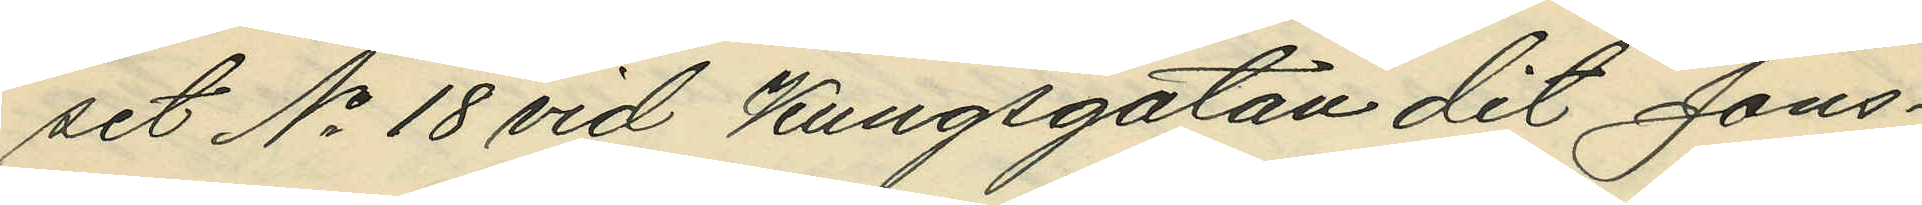set No 18 vid Kungsgatan dit Jons¬
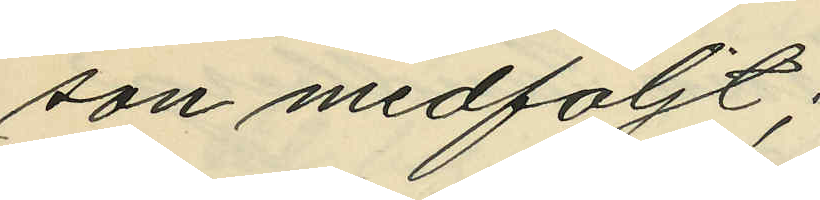son medföljt;
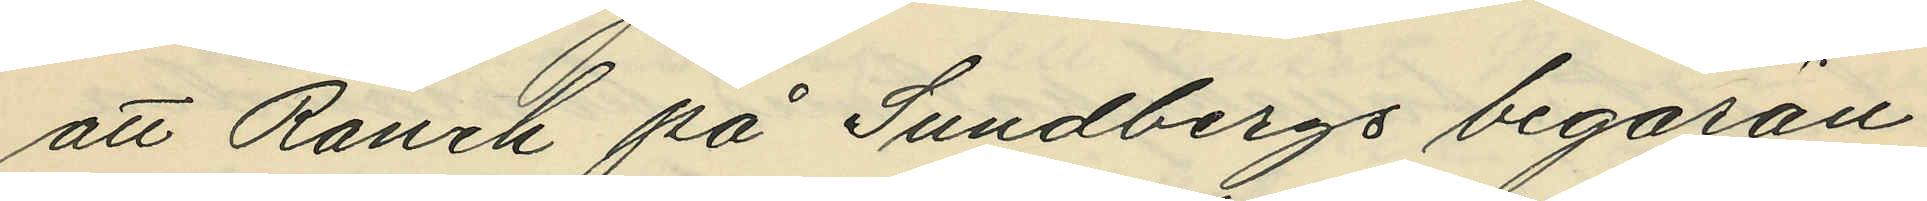att Ranch på Sundbergs begäran
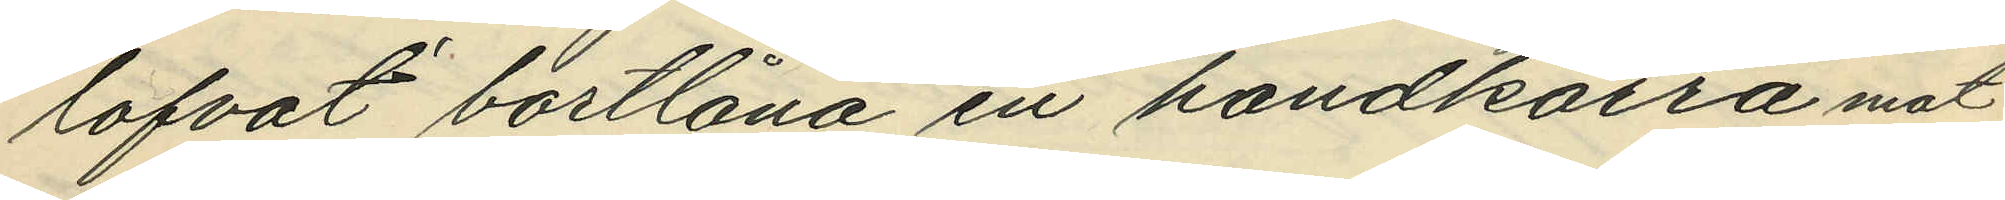lofvat bortlåna en handkärra mot
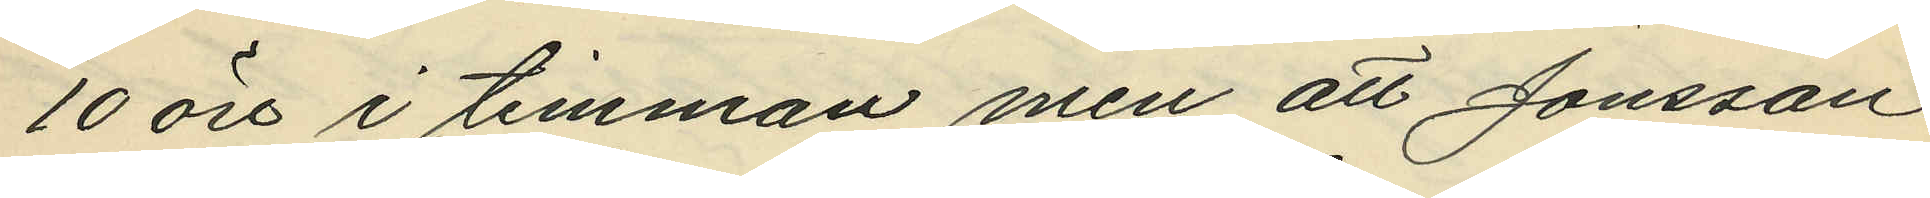10 öre i timman men att Jonsson
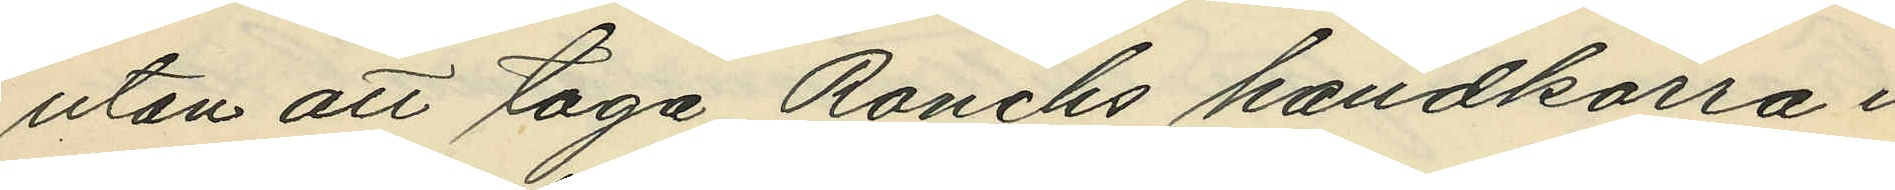utan att taga Ranchs handkärra i
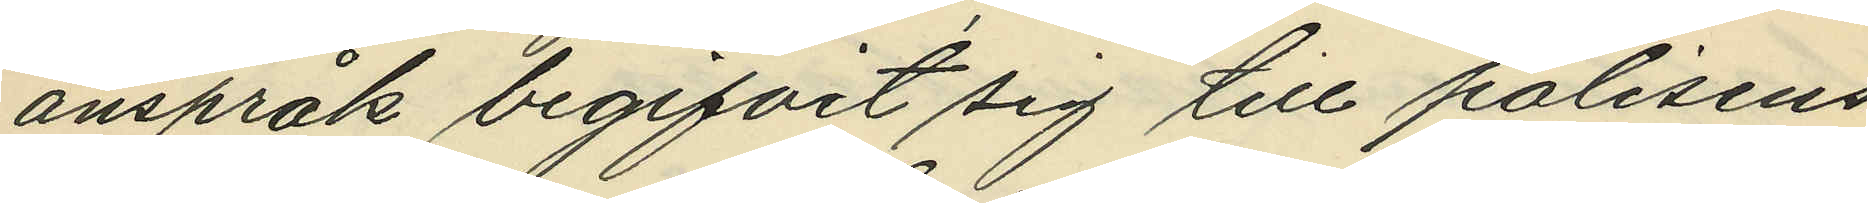anspråk begifvit sig till polisens
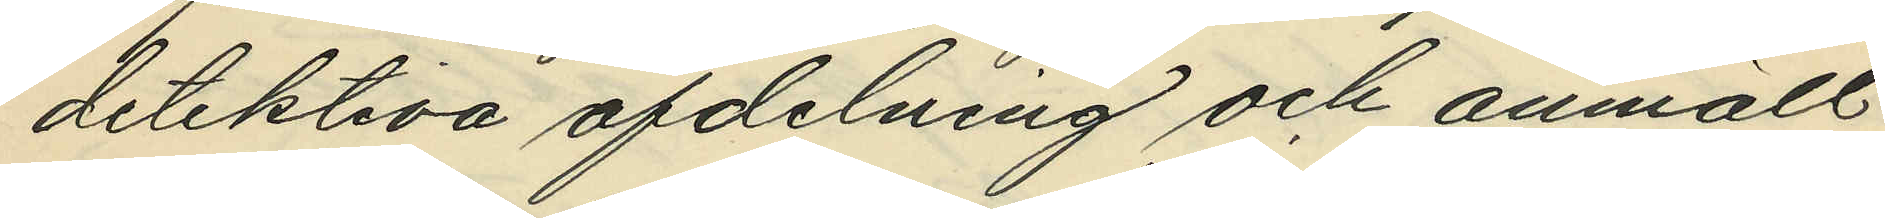detektiva afdelning och anmält
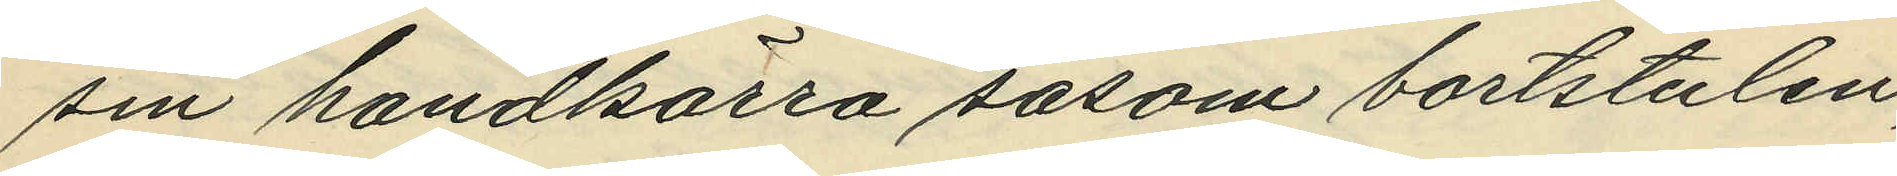sin handkärra såsom bortstulen,
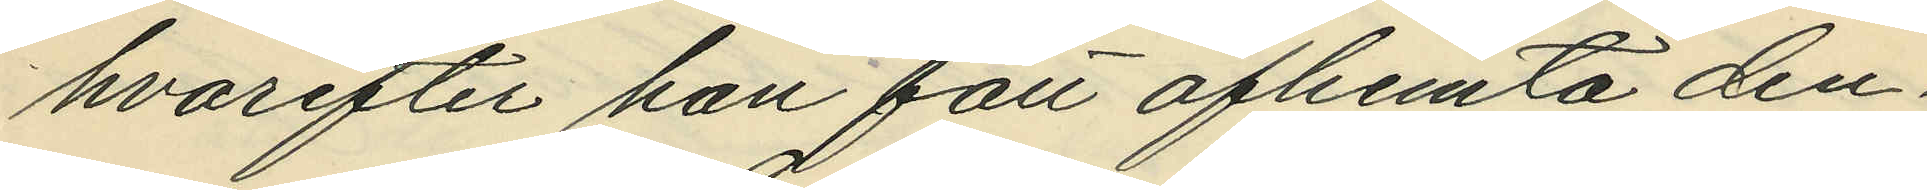hvarefter han fått afhemta den¬
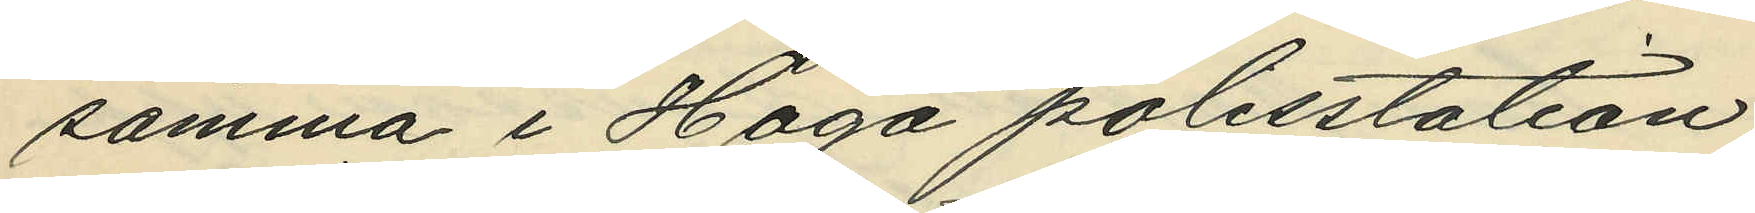samma i Haga polisstation;
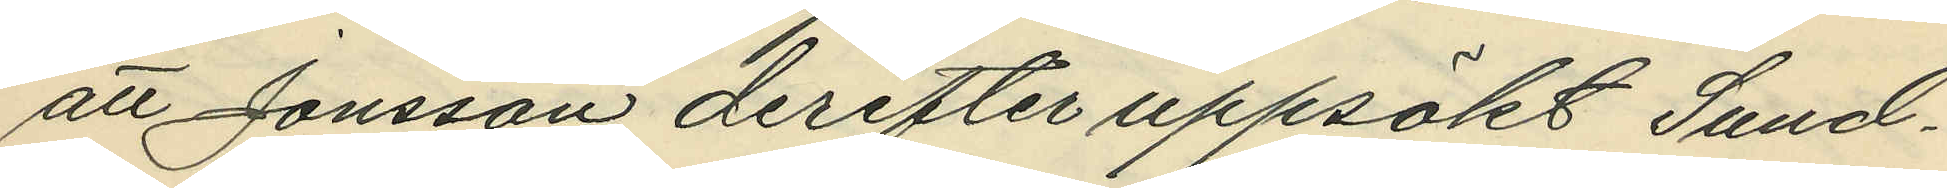att Jonsson derefter uppsökt Sund¬
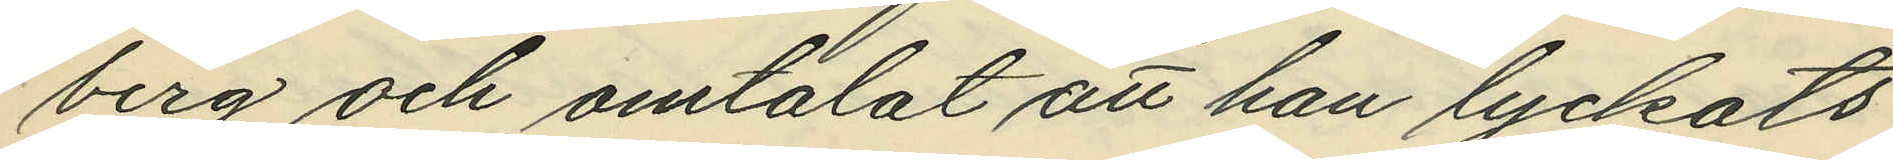berg och omtalat att han lyckats
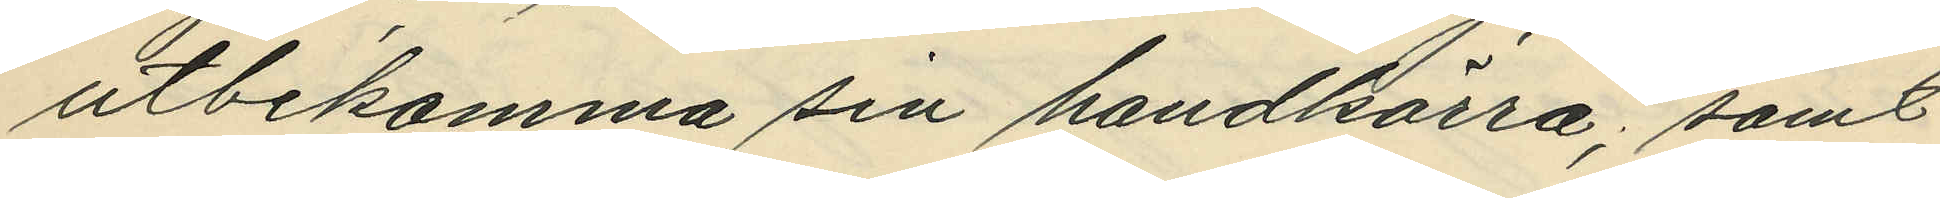utbekomma sin handkärra; samt
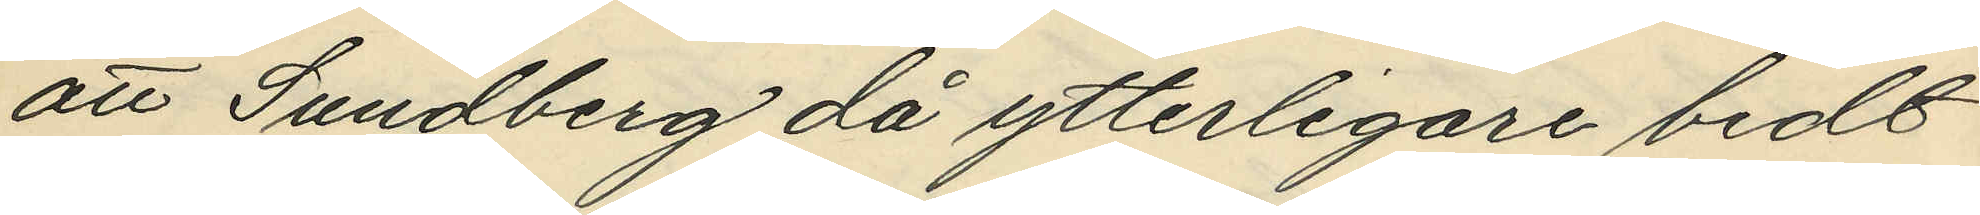att Sundberg då ytterligare bedt
